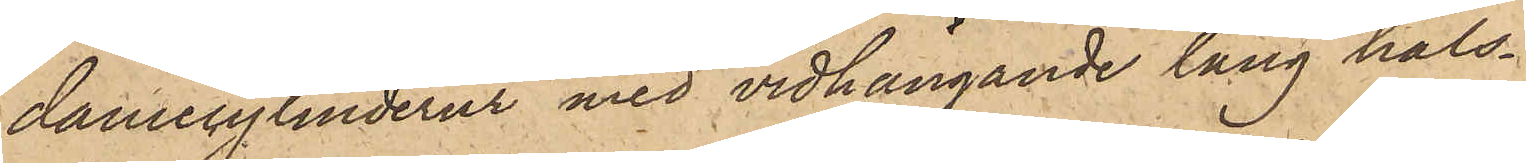damecylinderur med vidhängande lång hals¬
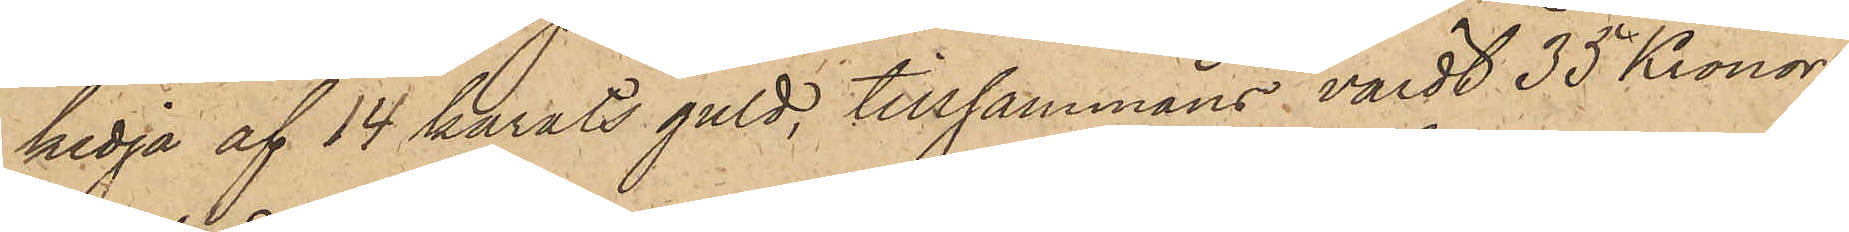kedja af 14 karats guld, tillsammans värdt 35 Kronor;
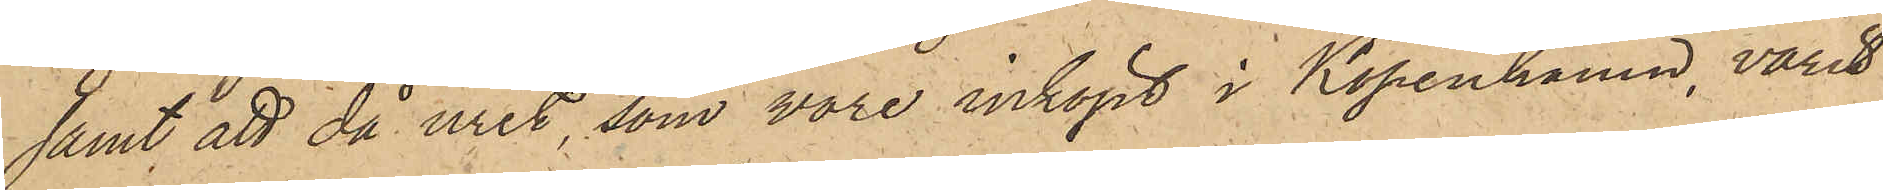samt att då uret, som vore inköpt i Köpenhamn, varit
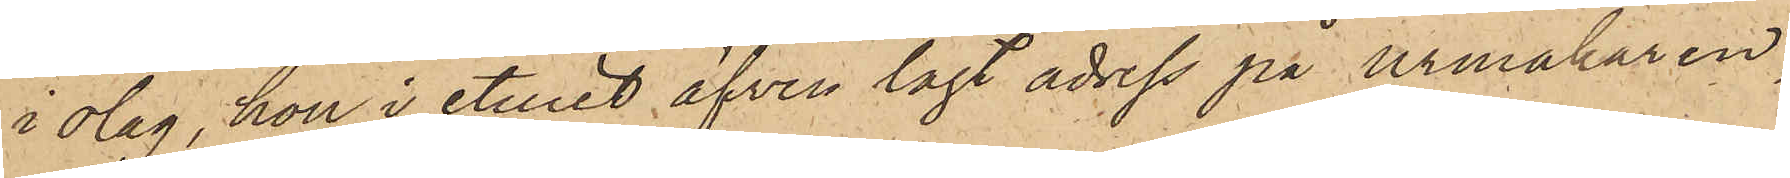i olag, hon i etuiet äfven lagt adress på urmakaren,
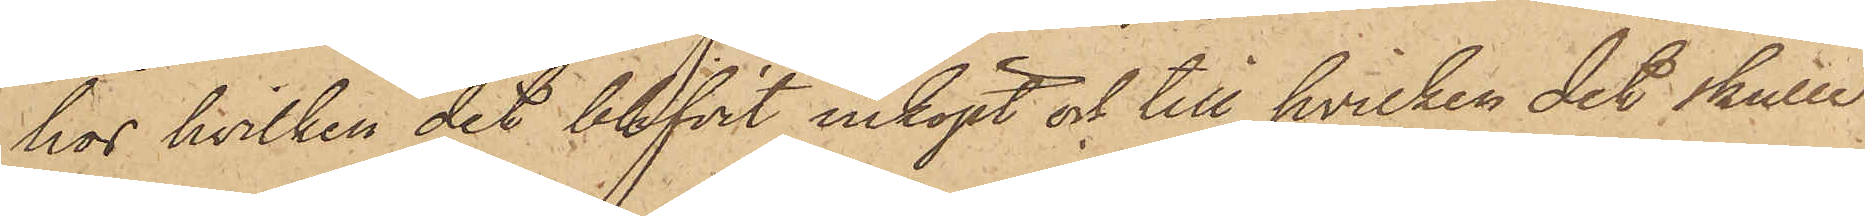hos hvilken det blifvit inköpt och till hvilken det skulle
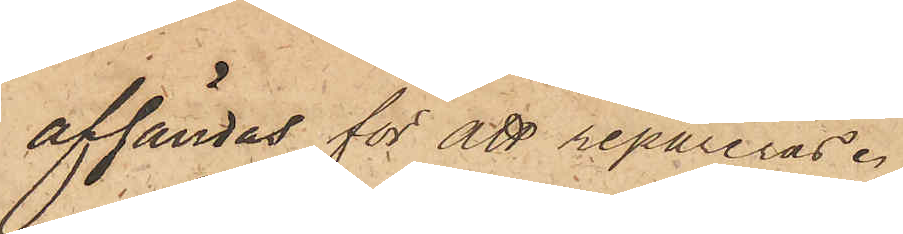afsändas för att repareras.
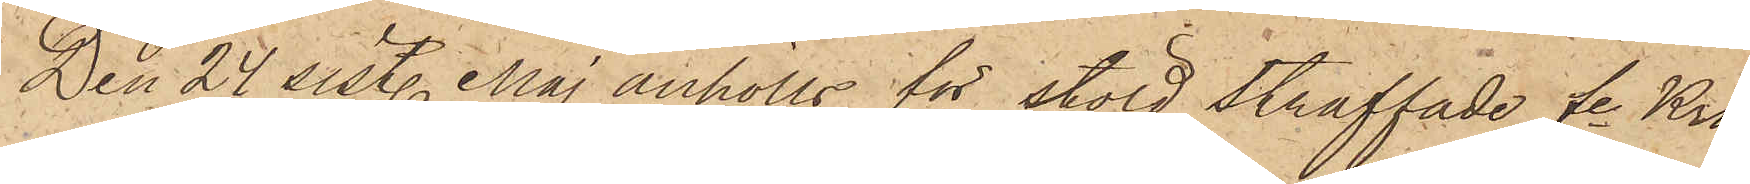Den 24 sist. Maj anhölls för stöld straffade fe Kro¬
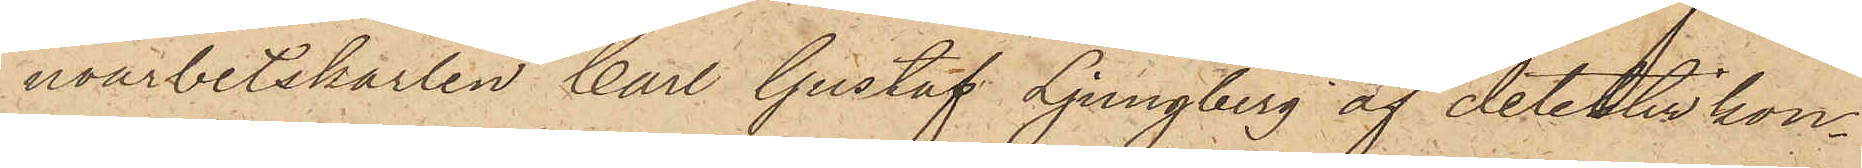noarbetskarlen Carl Gustaf Ljungberg af detektivkon¬
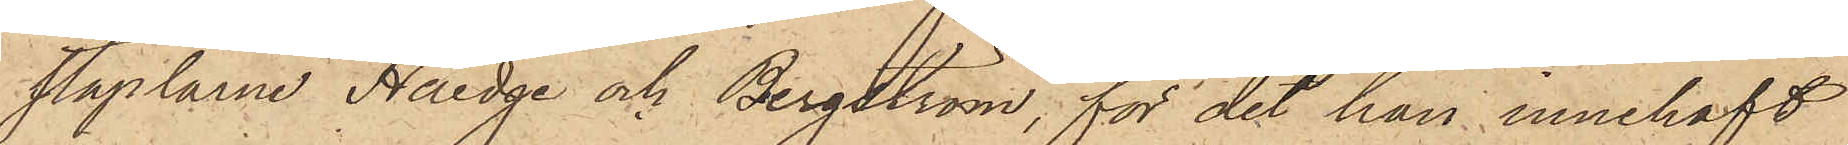staplarne Haedge och Bergström, för det han innehaft
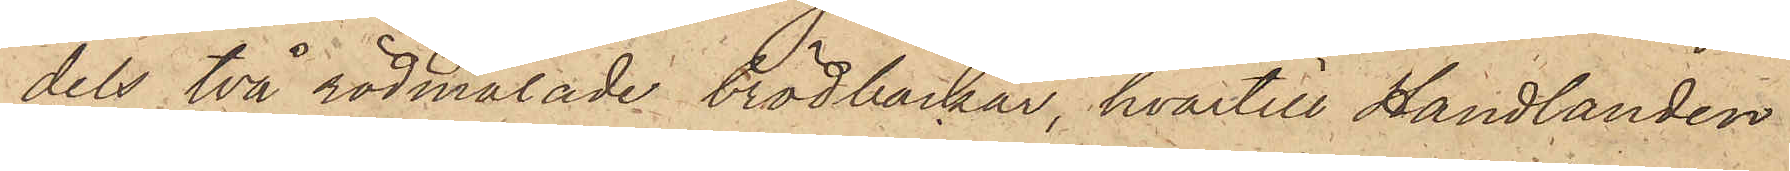dels två rödmålade brödbackar, hvartill Handlanden
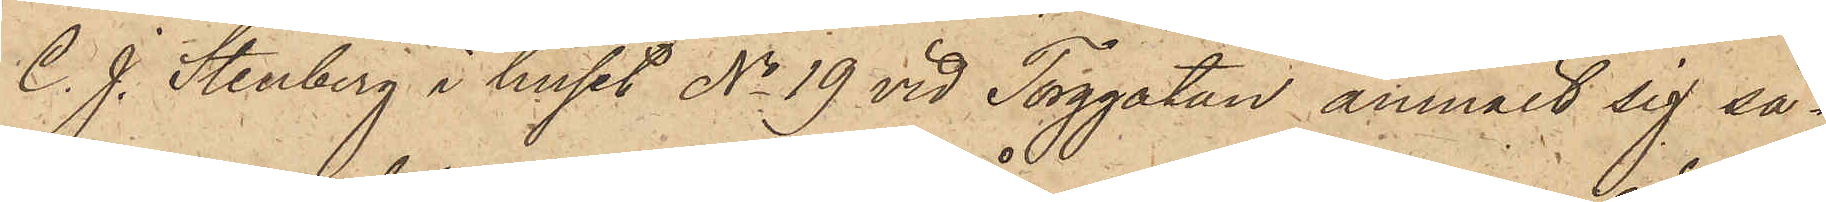C. J. Stenberg i huset No 19 vid Torggatan anmält sig så¬
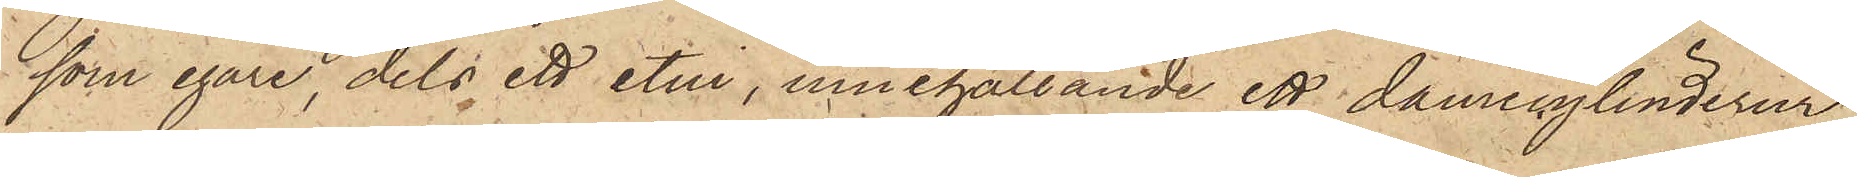som egare, dels ett etui, innehållande ett damecylinderur,
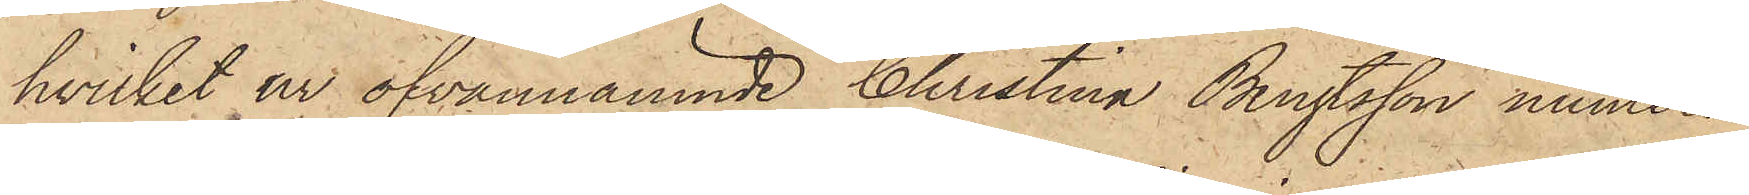hvilket ur ofvannämnde Christina Bengtsson numera
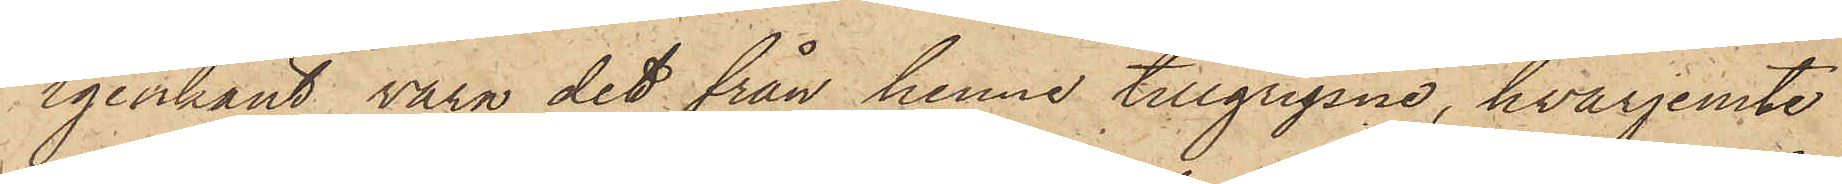igenkänt vara det från henne tillgripne, hvarjemte
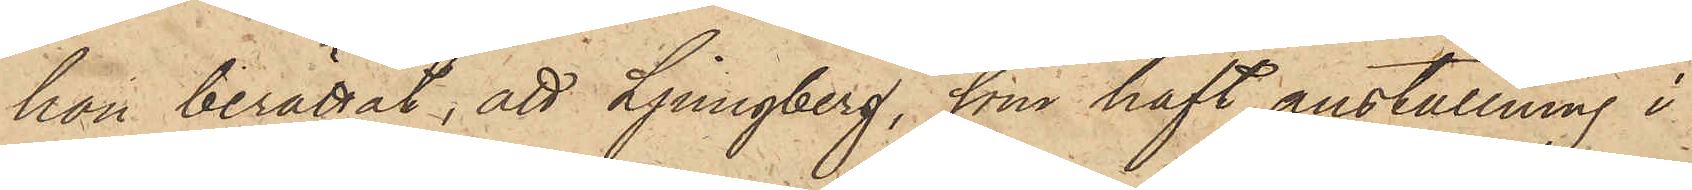hon berättat, att Ljungberg, som haft anställning i
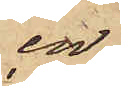en
